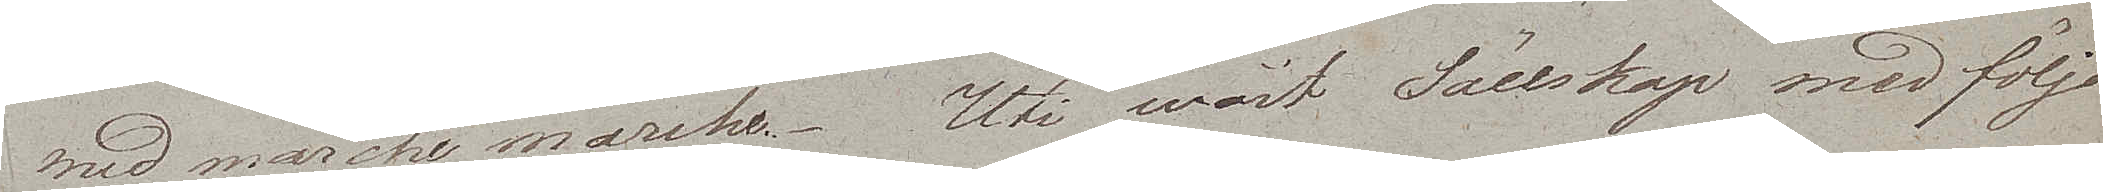med marche marche. Uti wårt Sällskap med följde
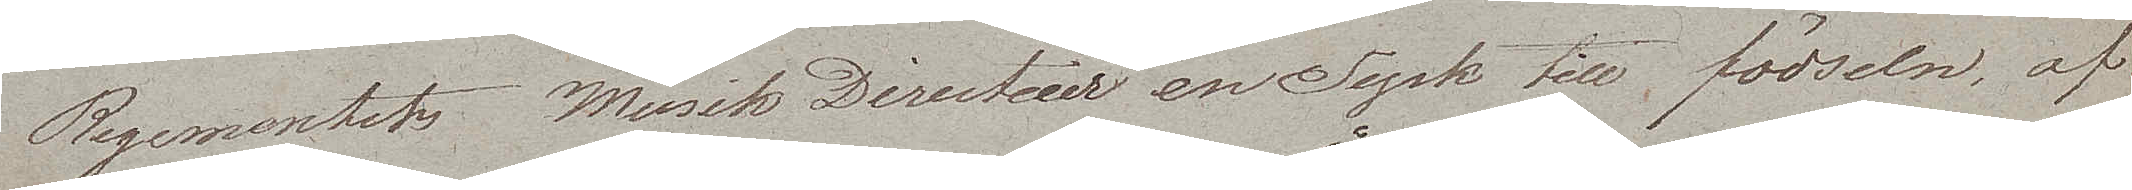Regementets Musik Directeur en Tysk till födseln, af
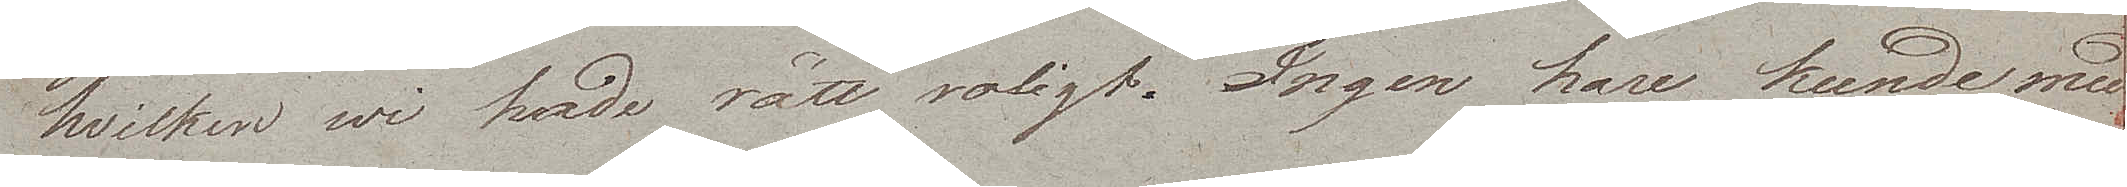hvilken wi hade rätt roligt. Ingen hare kunde med
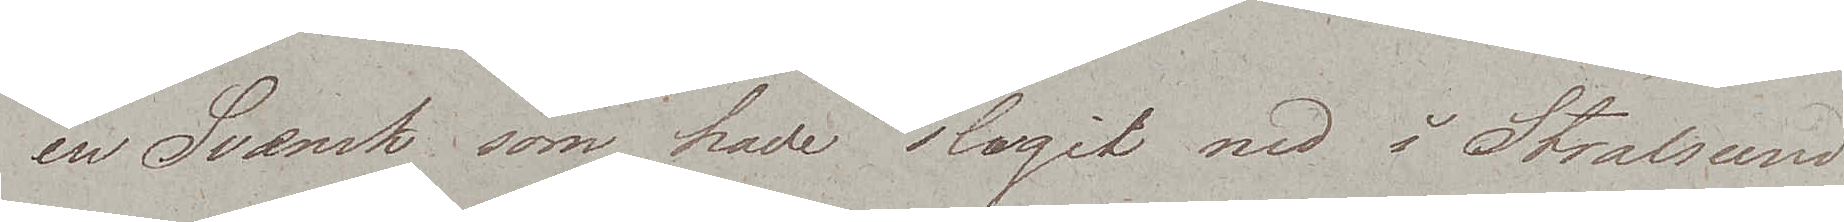en Svensk som hade slagit ned i Stralsund
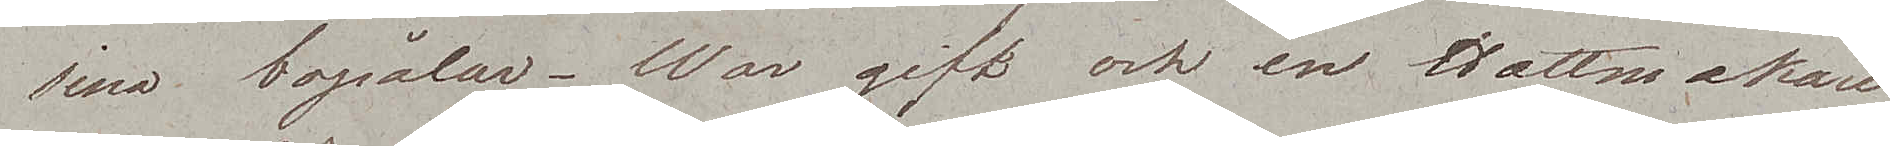sina bopålar. War gift och en Hattmakare
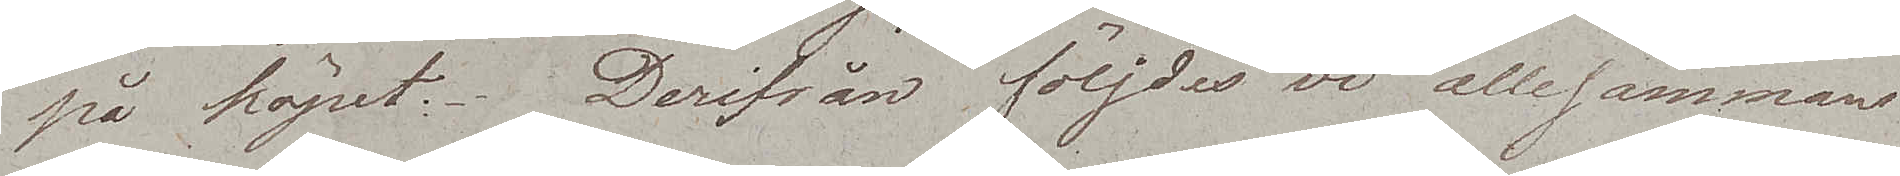på köpet. Derifrån följdes vi allesammans
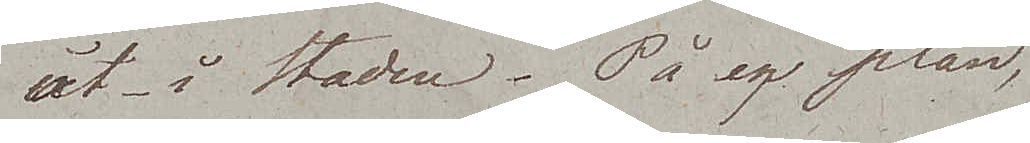åt i Staden. På en plan,
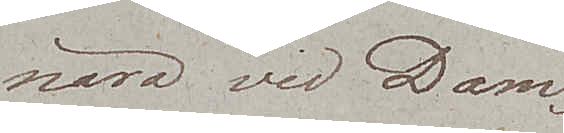nära vid Dam¬
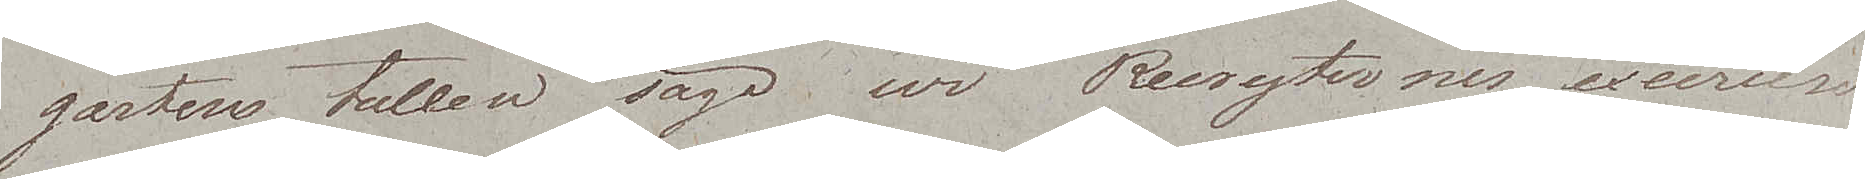gartens tullen sågo wi Rekryternes exercise
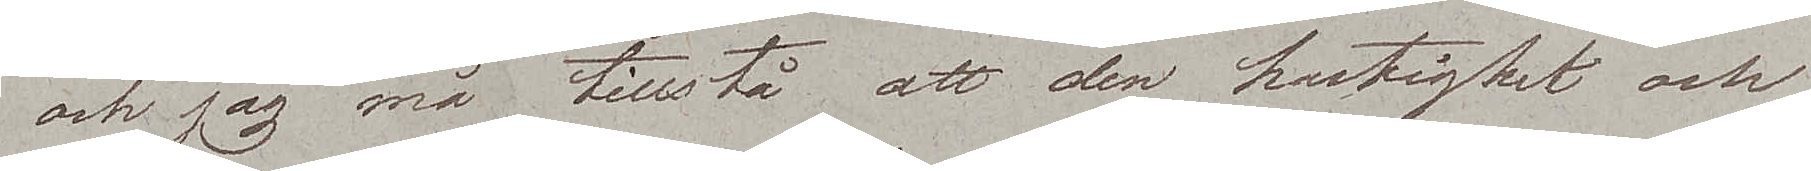och jag må tillstå att den hastighet och
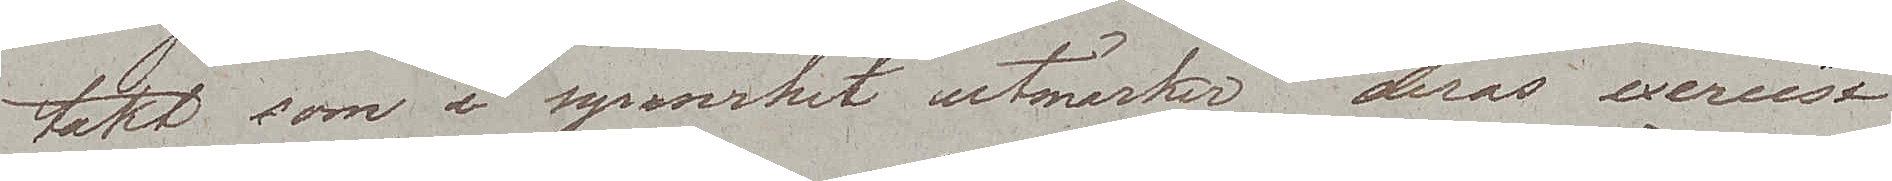takt som i synnerhet utmärker deras exercise
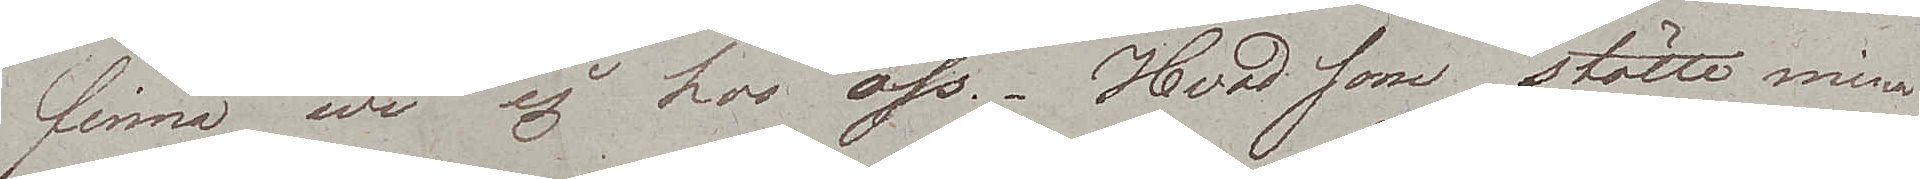finna wi ej hos oss. Hvad som stötte mina
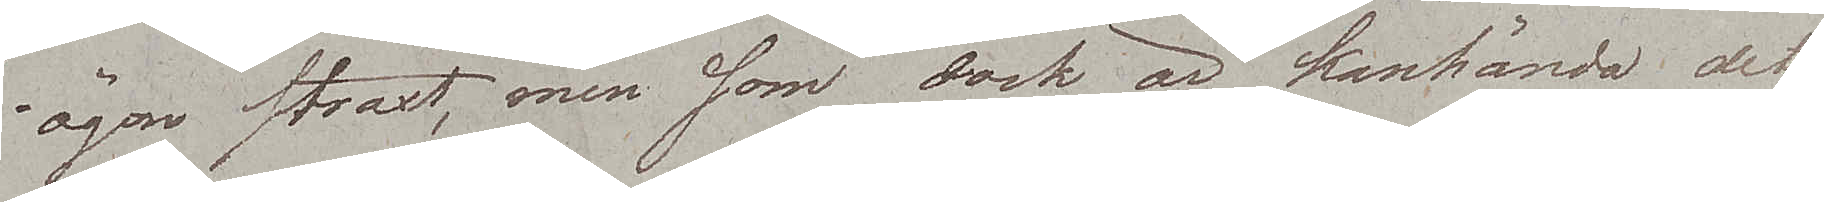ögon straxt, men som dock är kanhända det
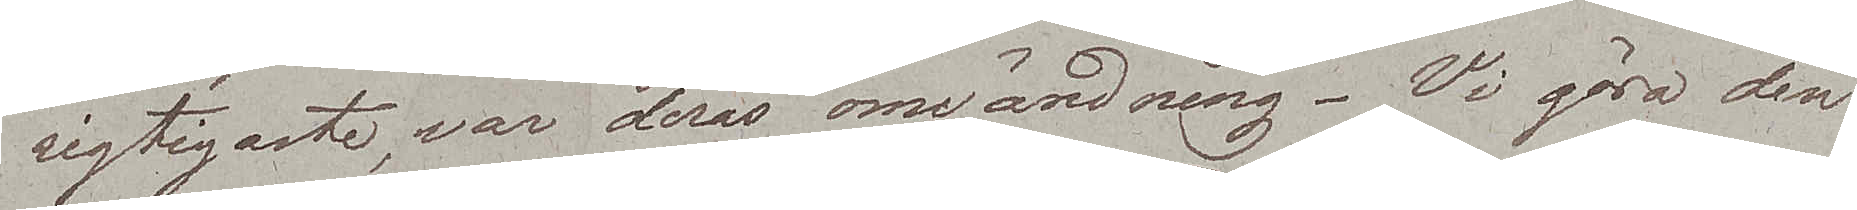vigtigaste, var deras omvändning. Vi göra den
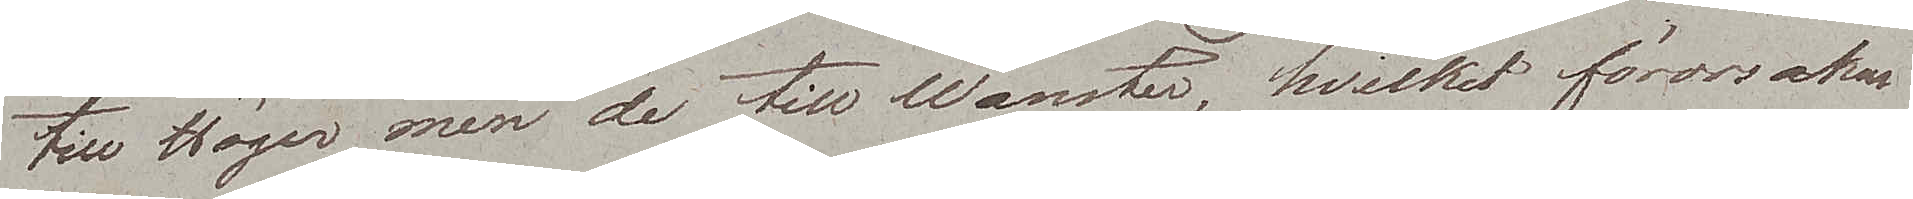till Höger men de till Wänster, hvilket förorsakar
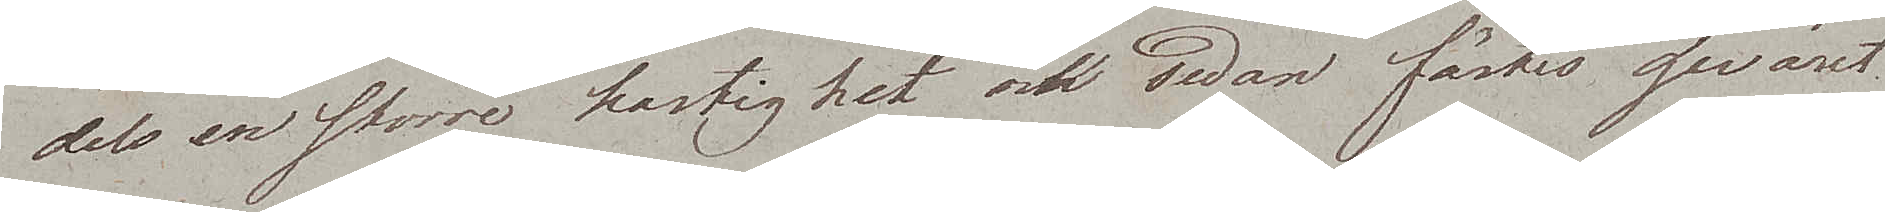dels en större hastighet och sedan fästes geväret
